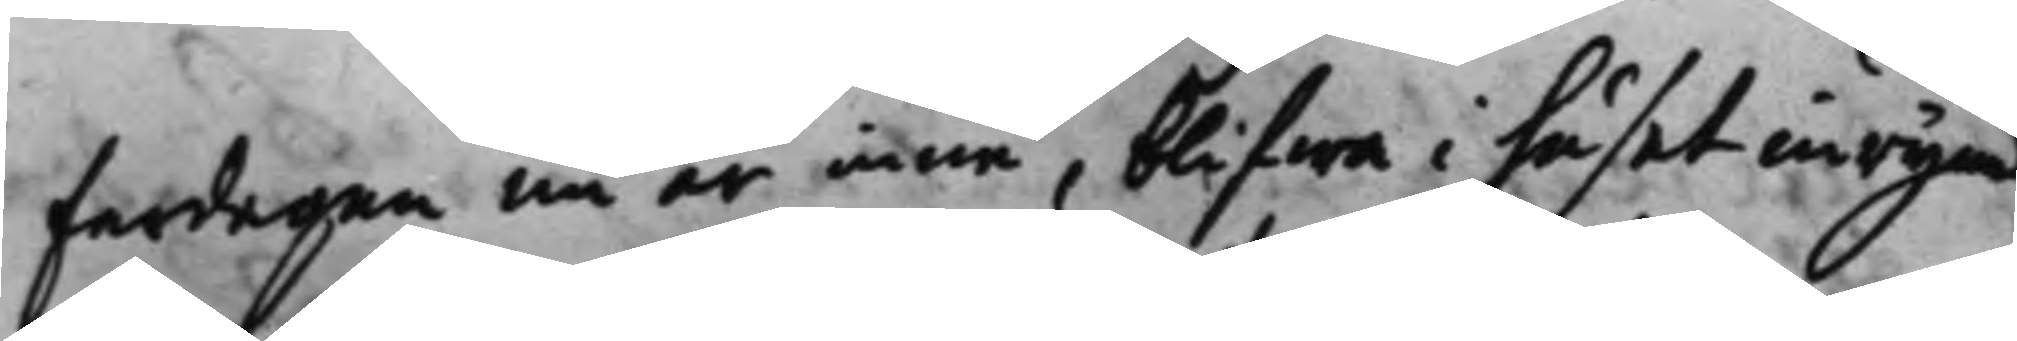fardagen nu är inne, blifwa i huset inrymd
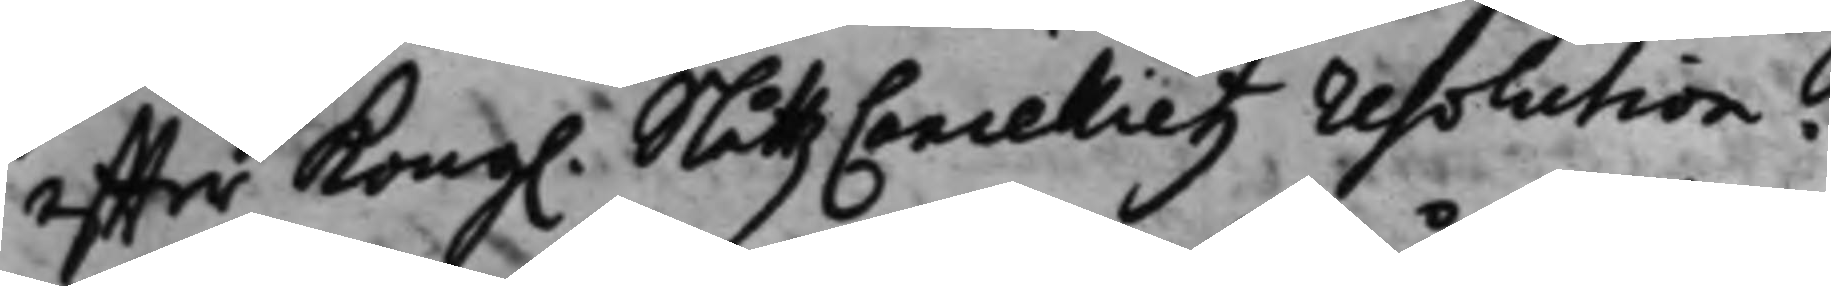effter Kong. SlåttzCancellietz resolution. 
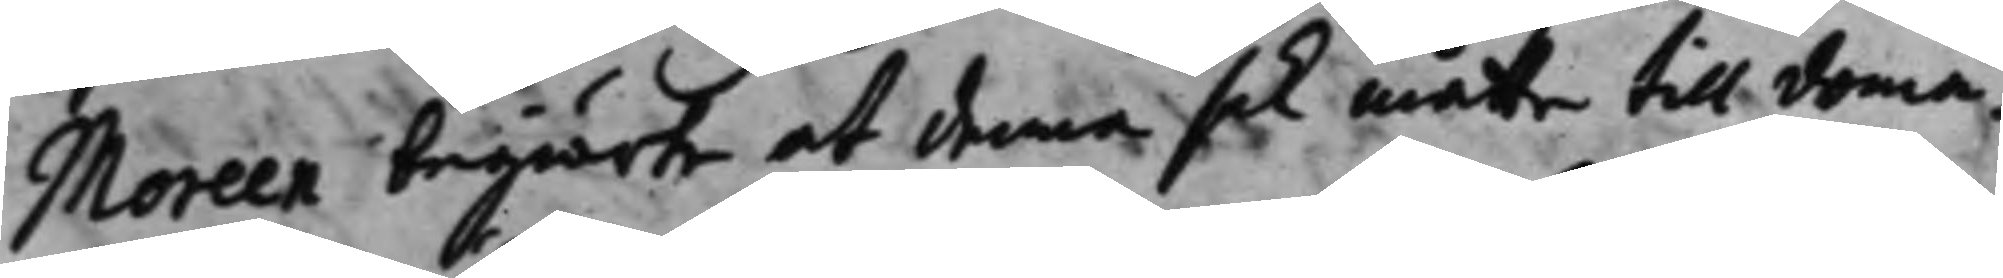Moreen begiärte at denna sak måtte till doma¬
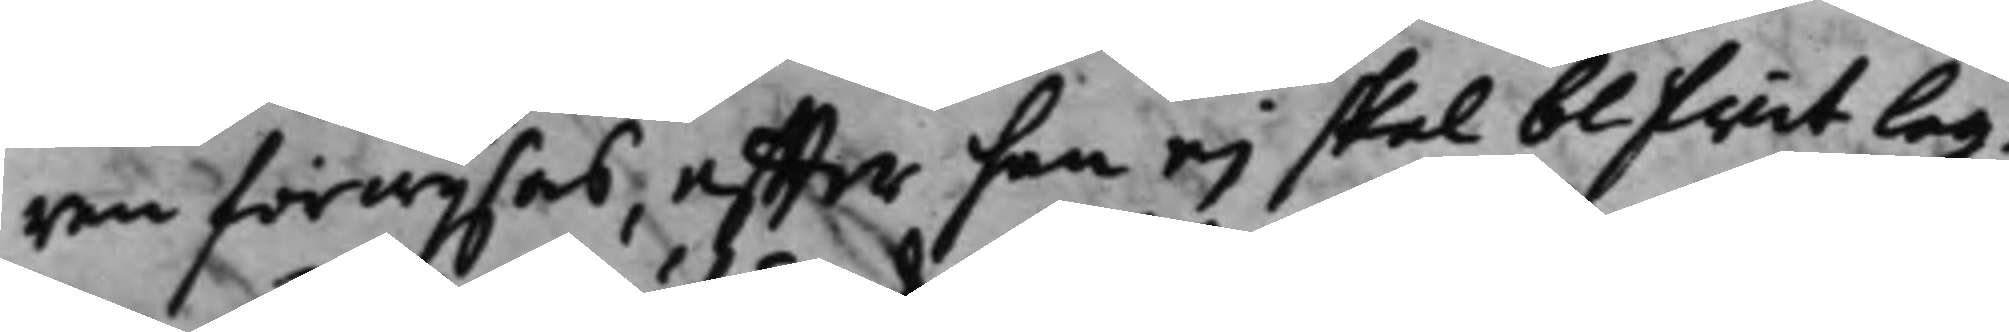ren förwijsas, effter han ej skal blifwit lag¬
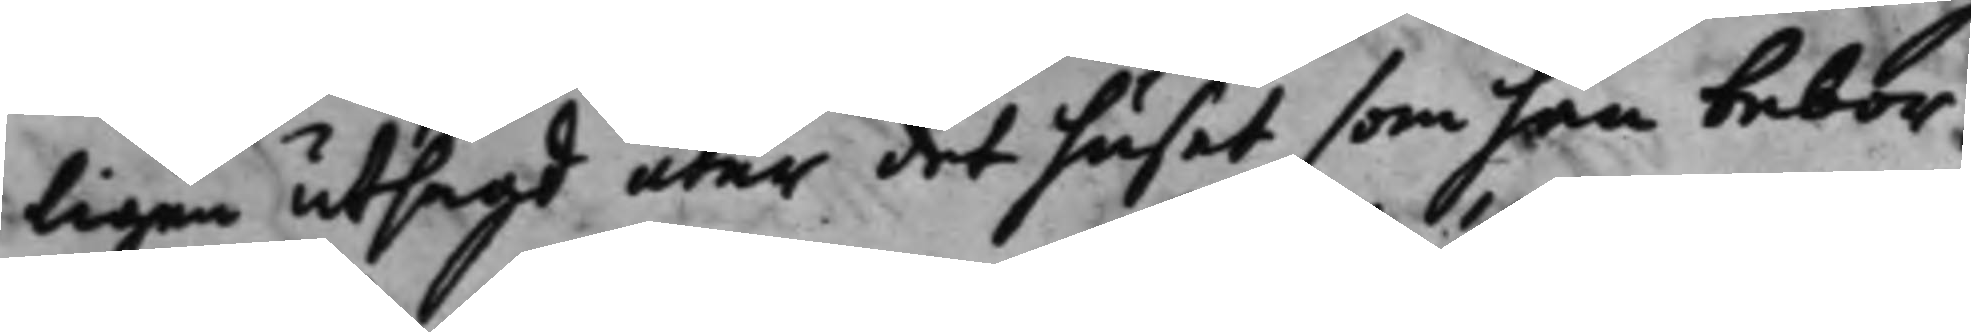ligen utsagd utur det huset som han bebor,
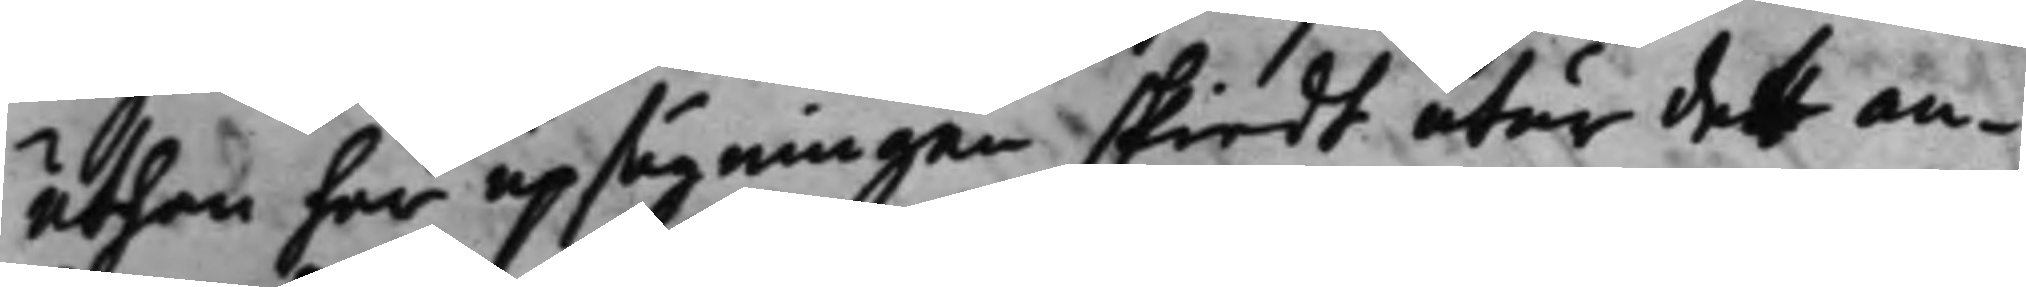uthan har upsägningen skiedt utur det an¬
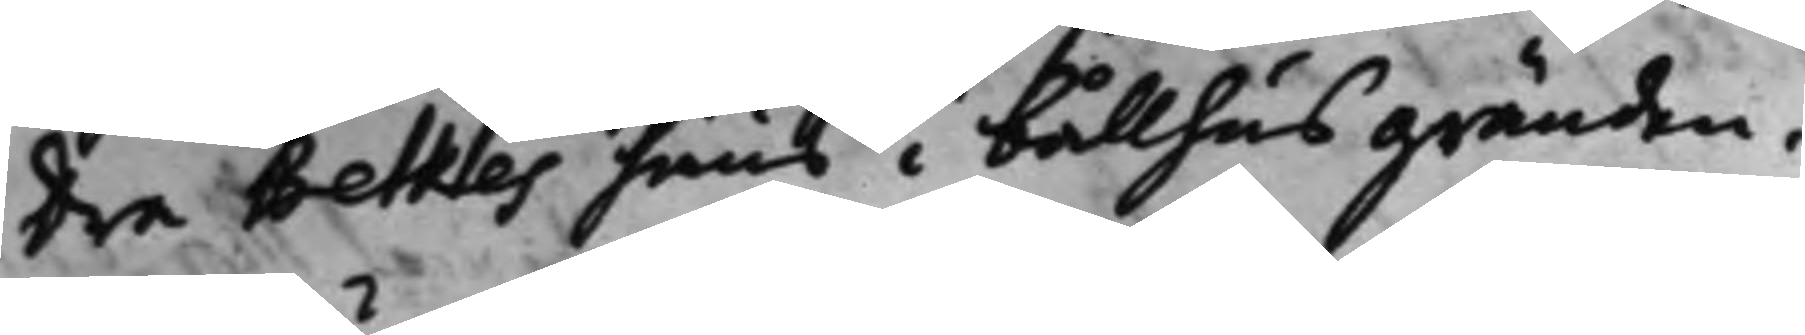dra Betkes huus i Bållhusgränden.
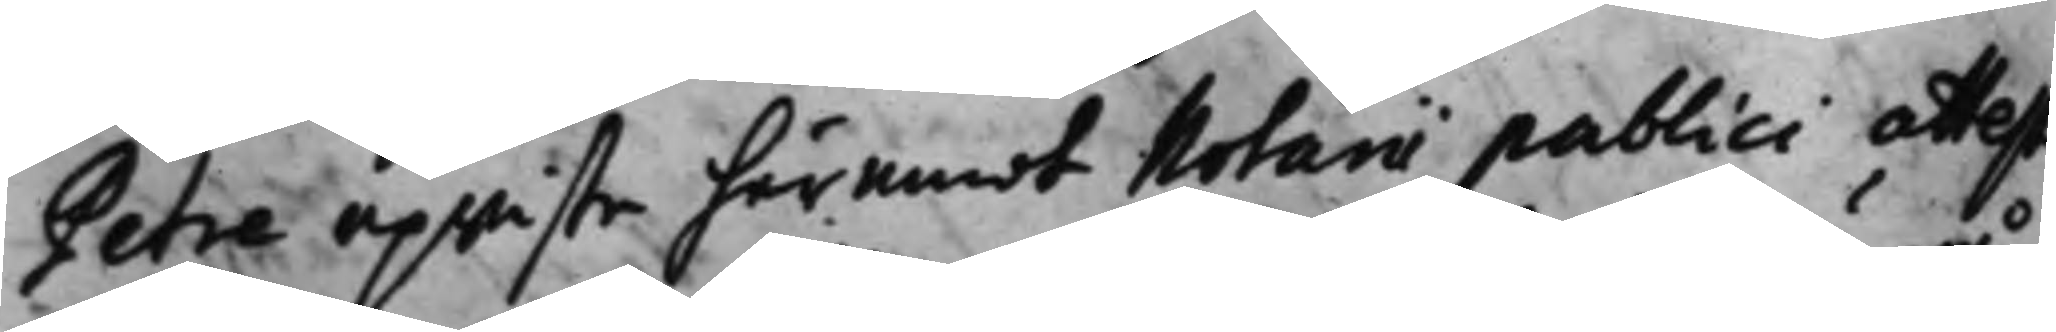Petre upwiste häremot Notarii publici attest
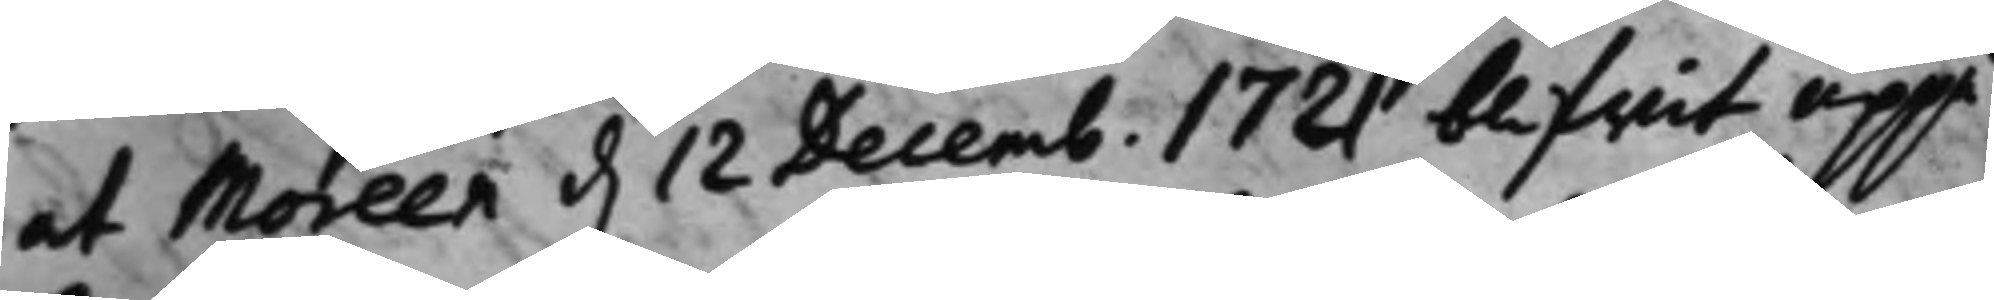at Moreen d. 12 Decemb. 1721 blifwit uppå 
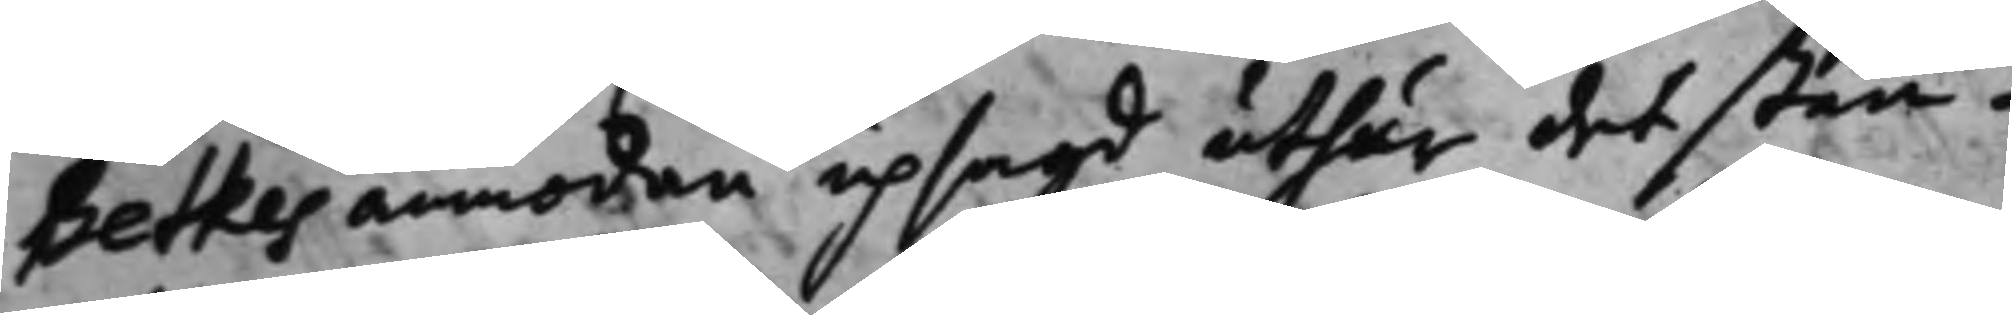Betkes anmodan upsagd uthur det sten¬
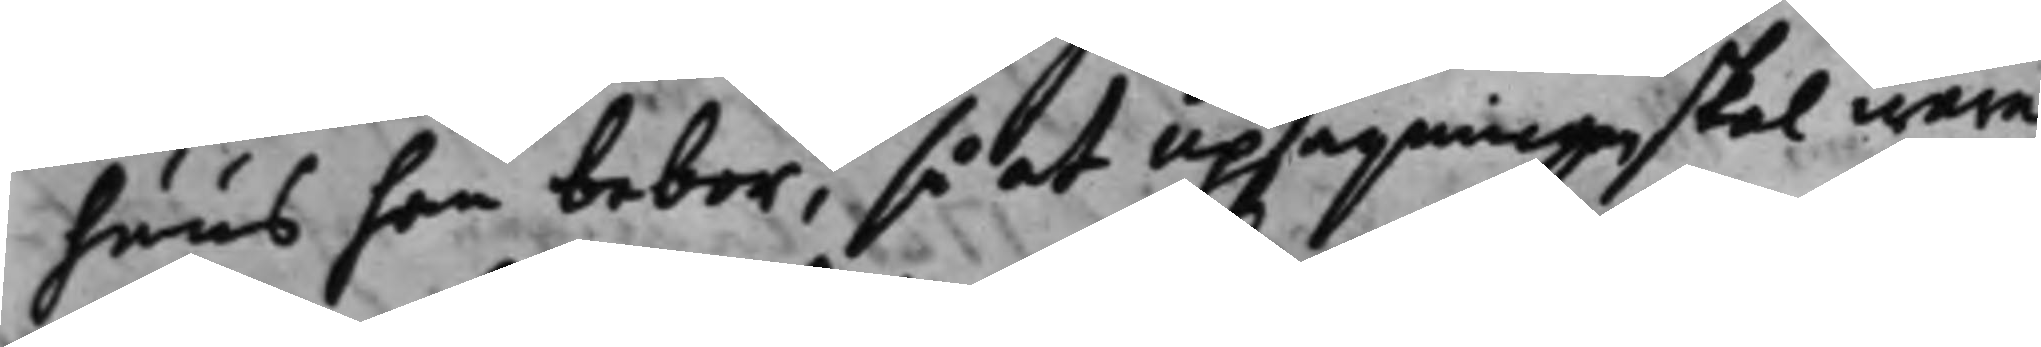huus han bebor, så at upsägningen skal wara
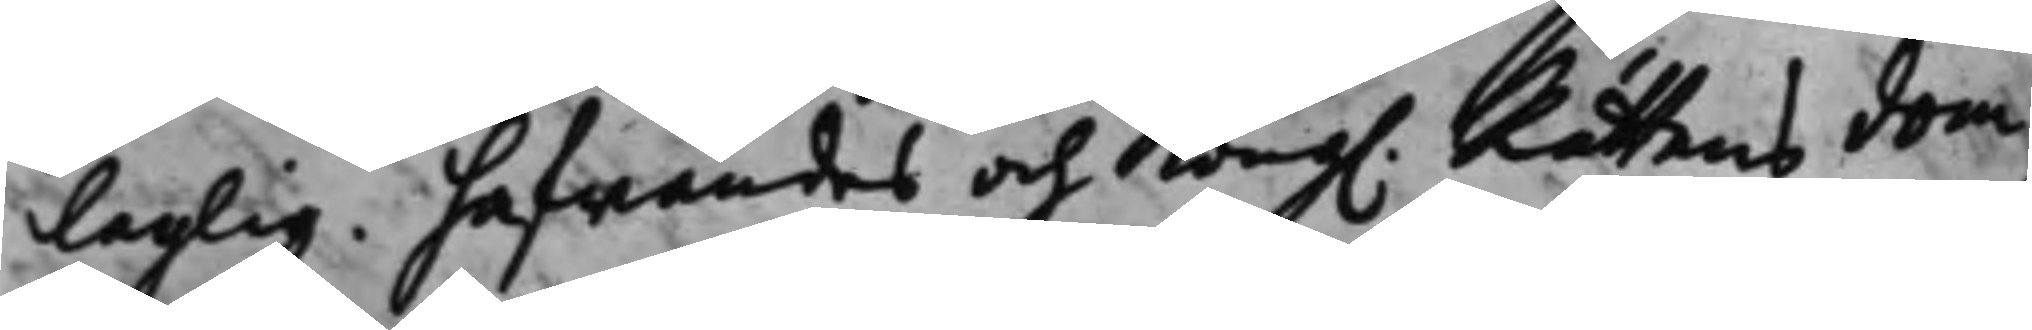laglig. hafwandes och Kong. Rättens dom
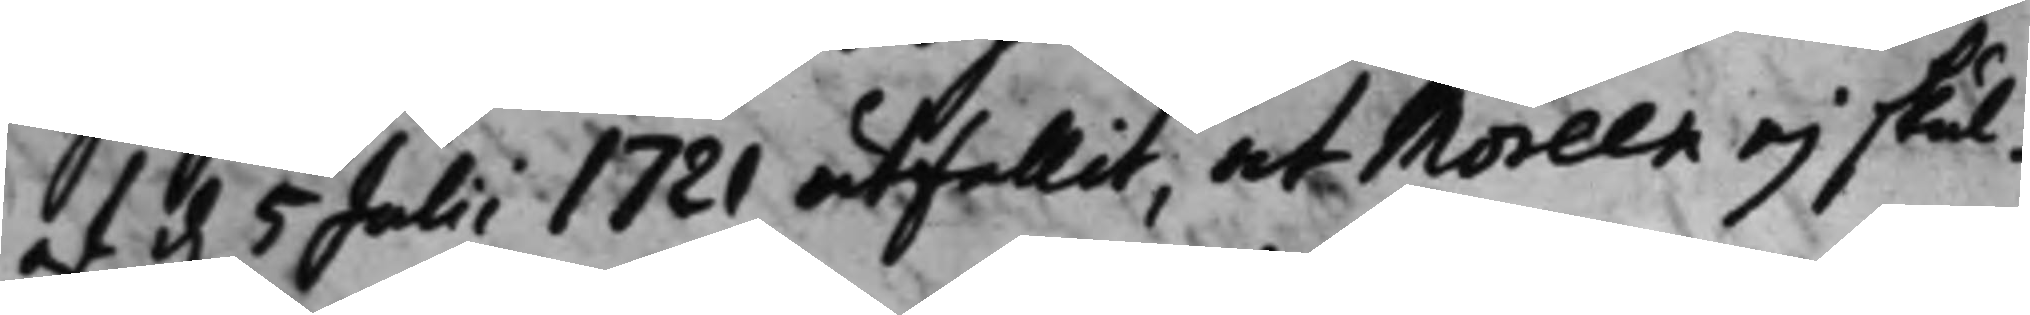af d. 5 Julii 1721 utfallit, at Moreen ej skul¬ 
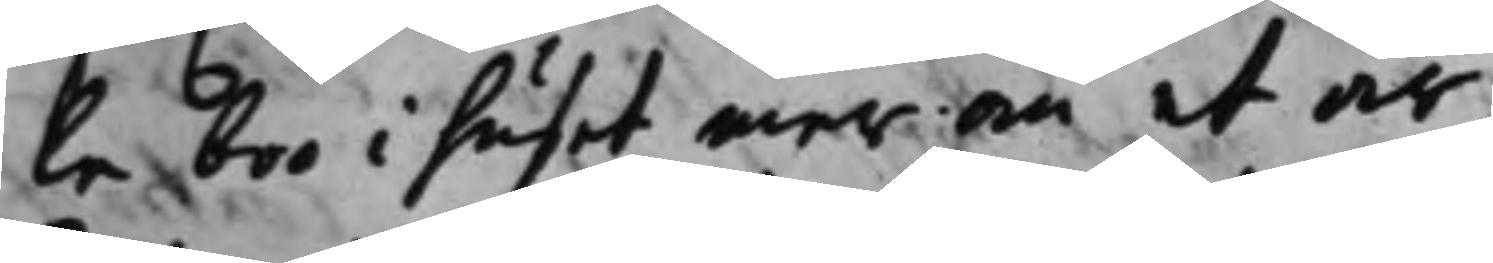le boo i huset mer än et år,
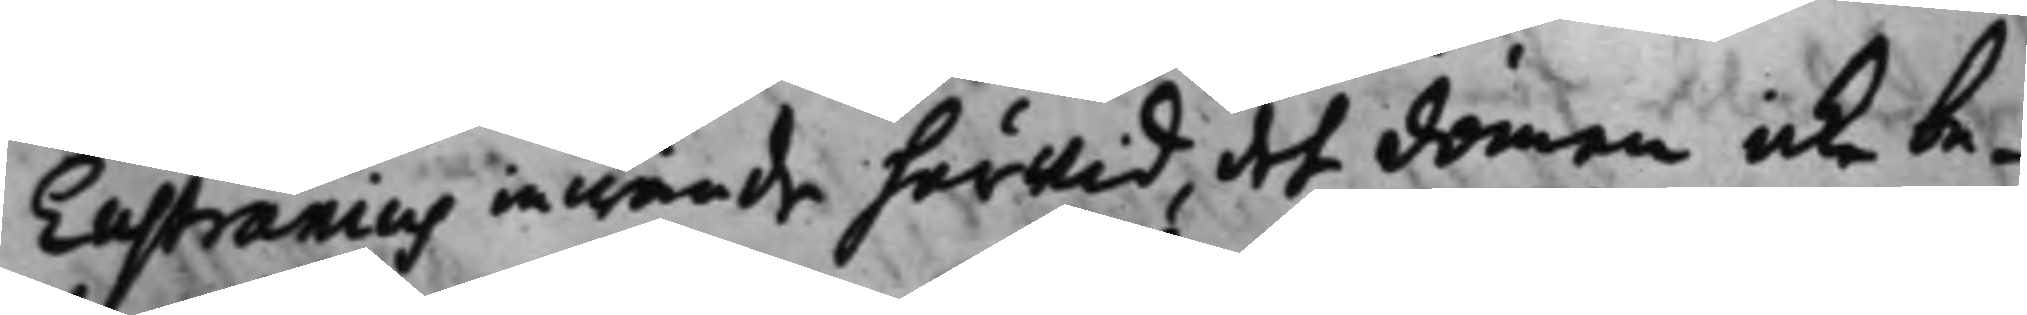Eustranius inwände härwid, det domen icke be¬
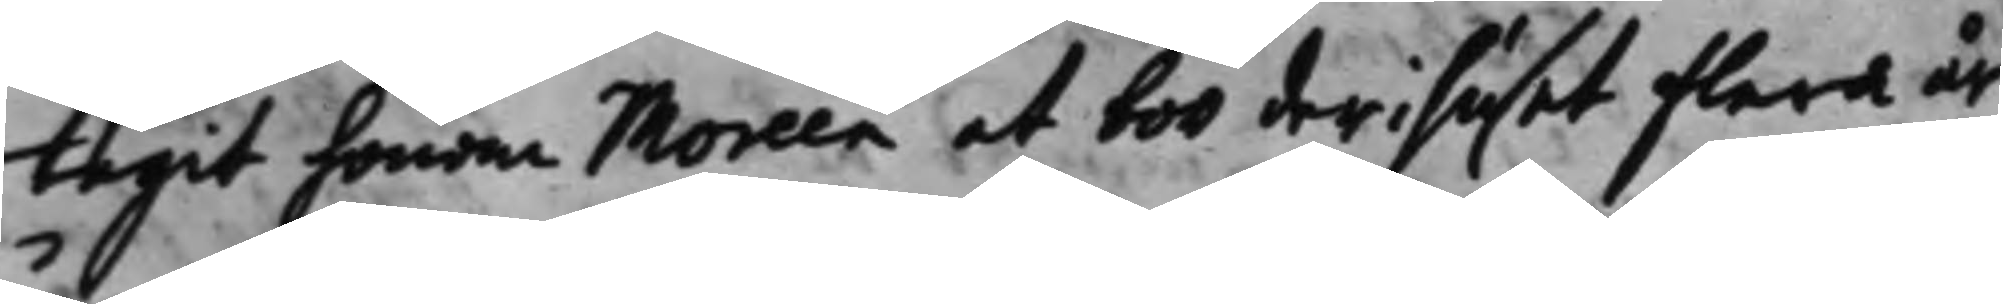tagit honom Moreen at boo deri huset flera år
